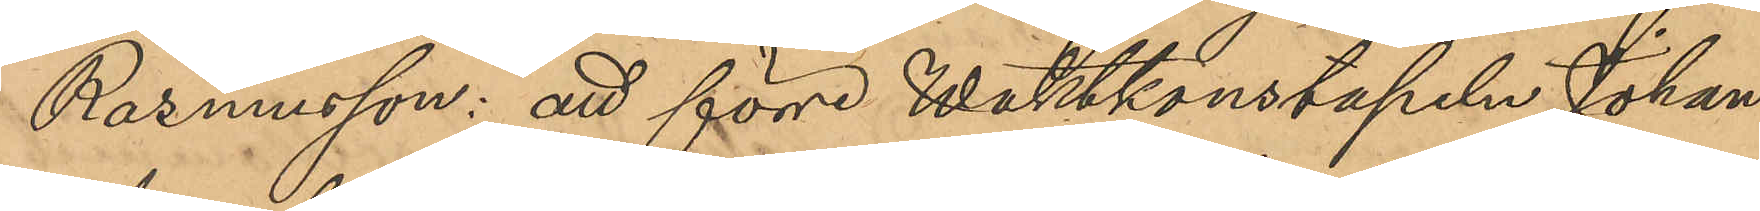Rasmusson: att förre Waktkonstapeln Johan
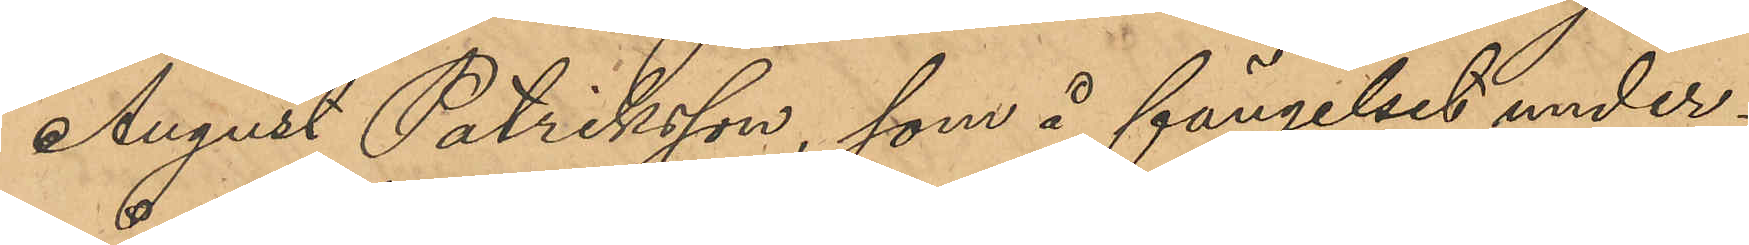August Patriksson, som å fängelset under¬
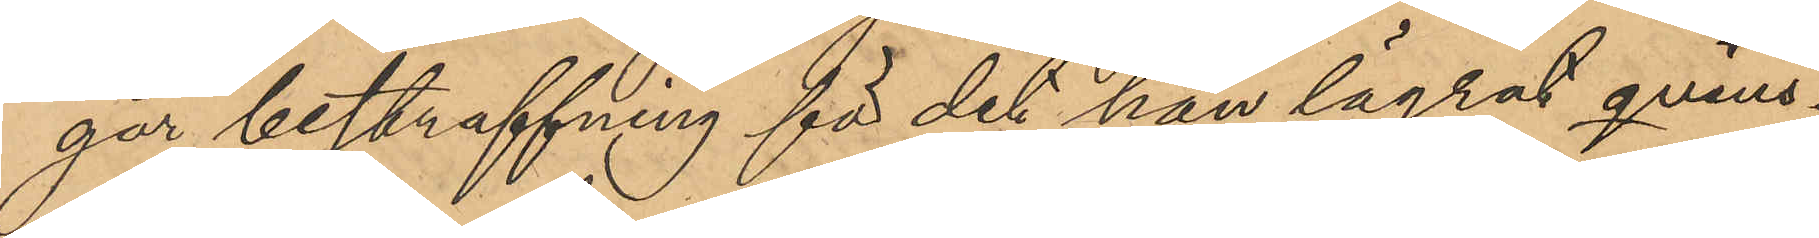går bestraffning för det han lägrat qvins¬
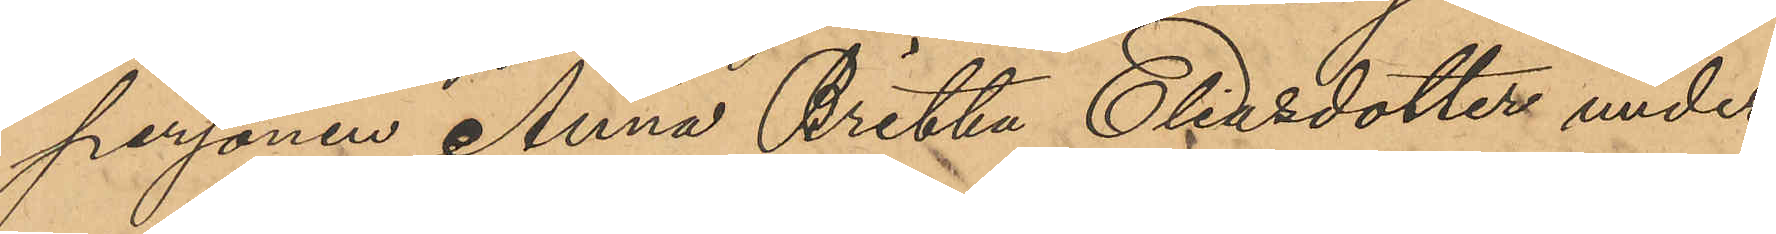personen Anna Britta Eliasdotter under
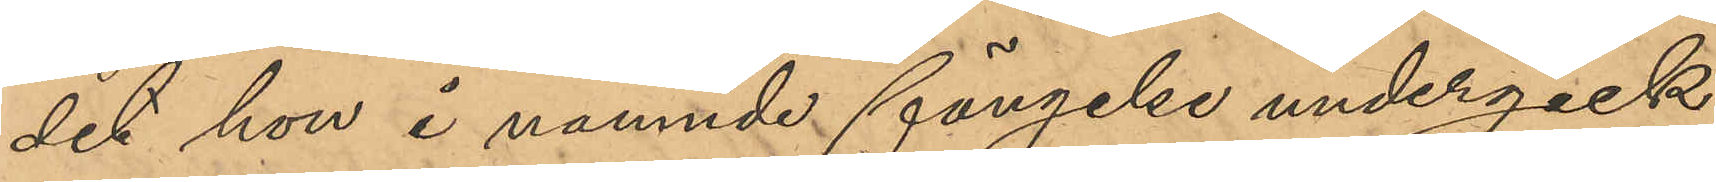det hon i nämnde fängelse undergick
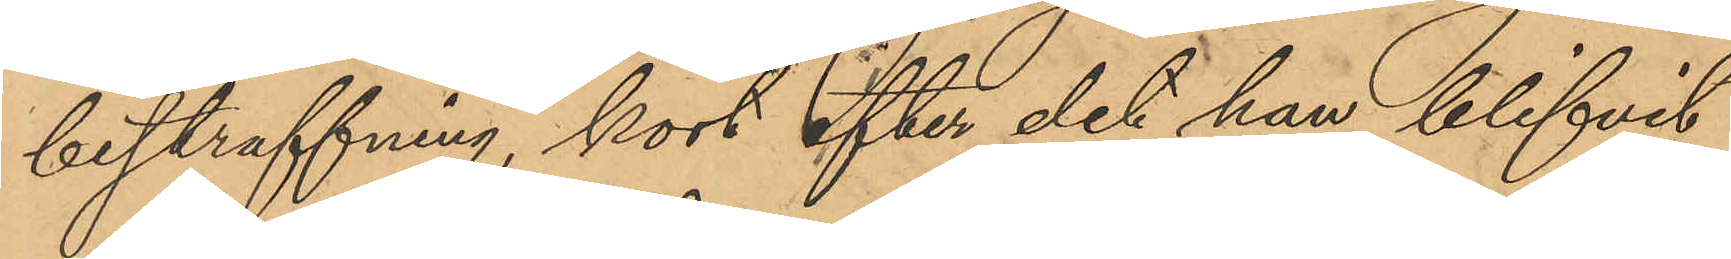bestraffning, kort efter det han blifvit
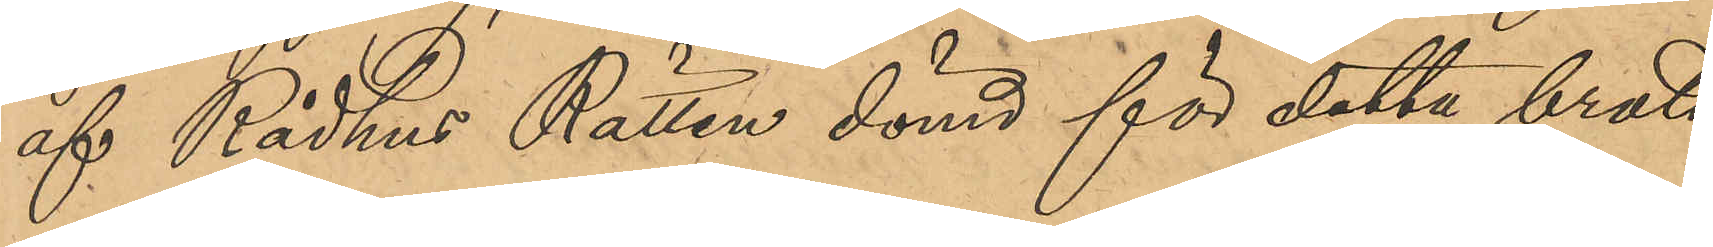af Rådhus Rätten dömd för detta brott,
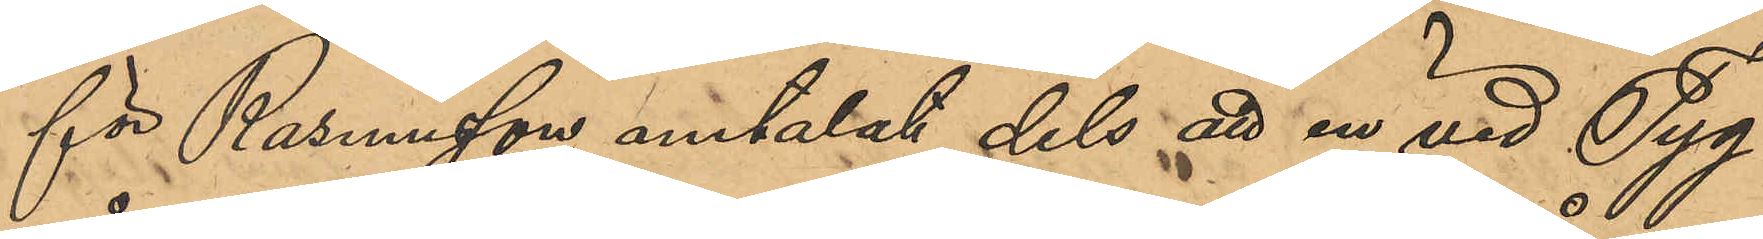för Rasmusson omtalat dels att en vid Tyg¬
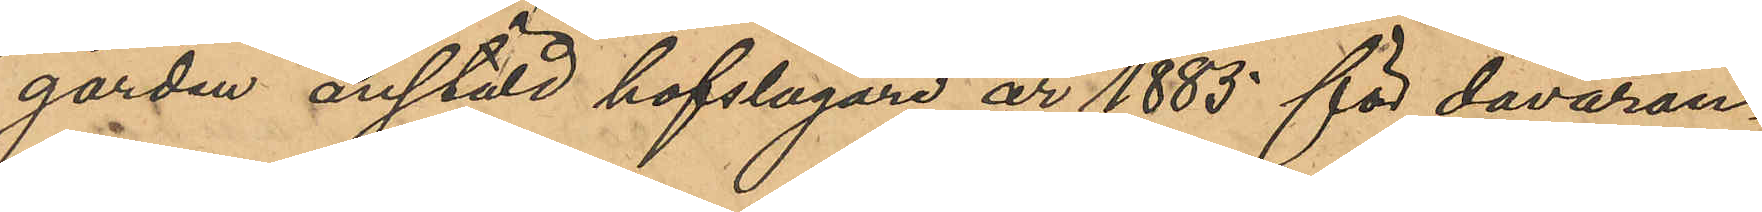gården anstäld hofslagare år 1883 för dåvaran¬
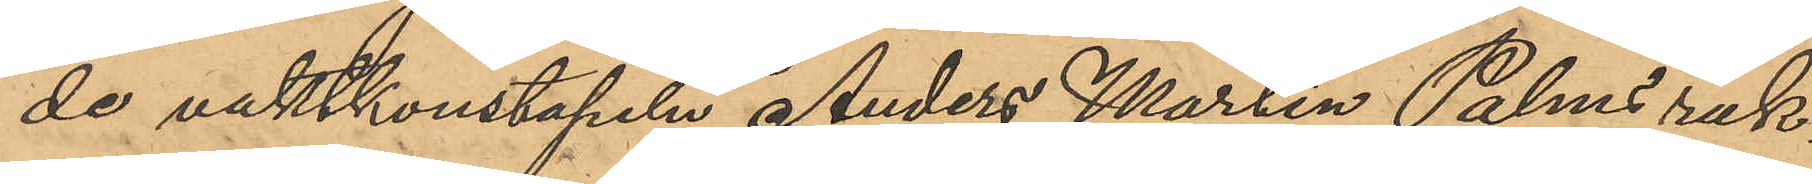de vaktkonstapeln Anders Martin Palms räk¬
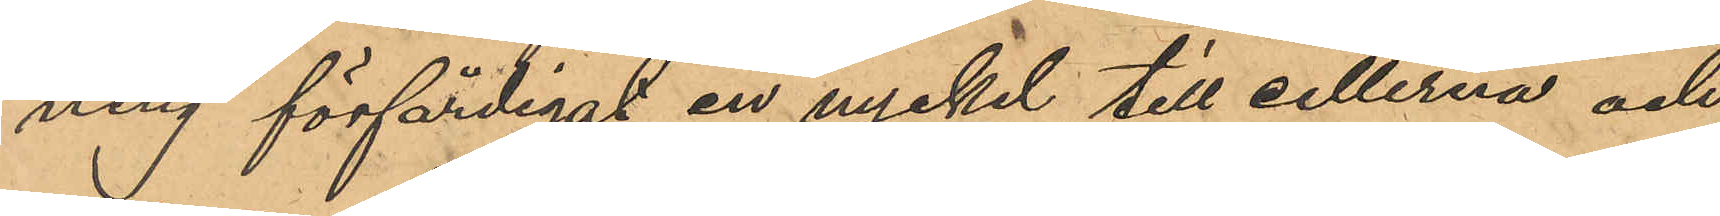ning förfärdigat en nyckel till cellerna och
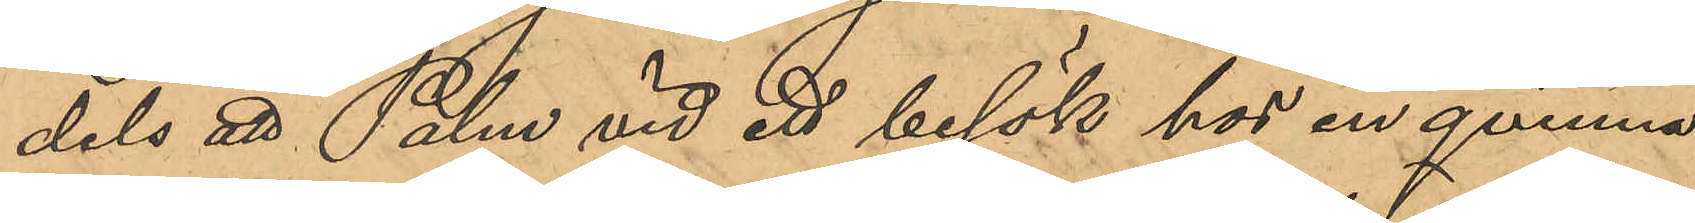dels att Palm vid ett besök hos en qvinna
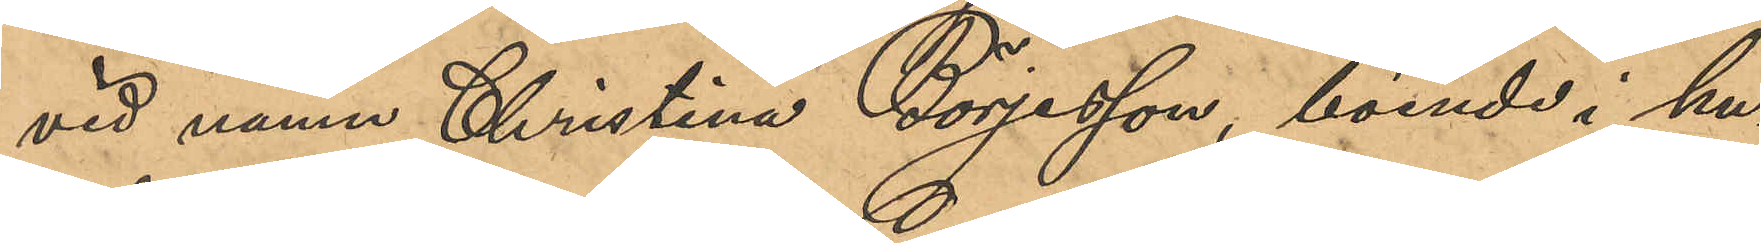vid namn Christina Börjesson, boende i hu¬
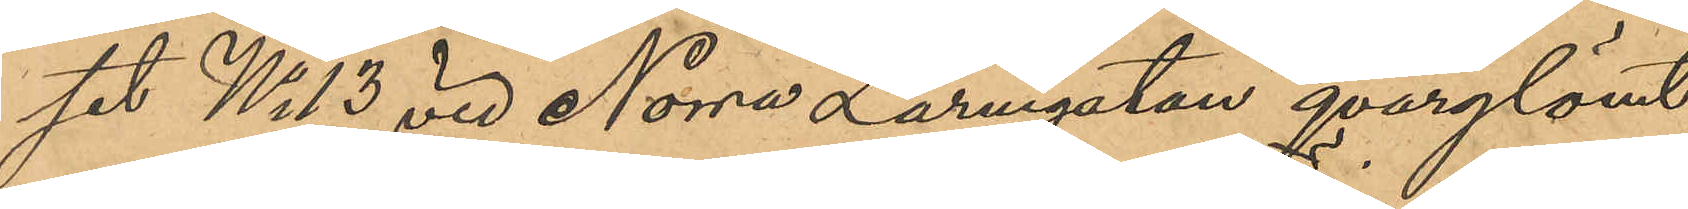set No 13 vid Norra Larmgatan qvarglömt
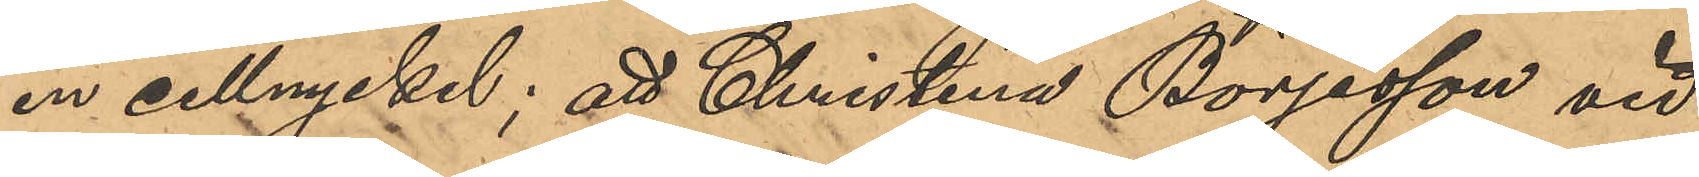en cellnyckel; att Christina Börjesson vid
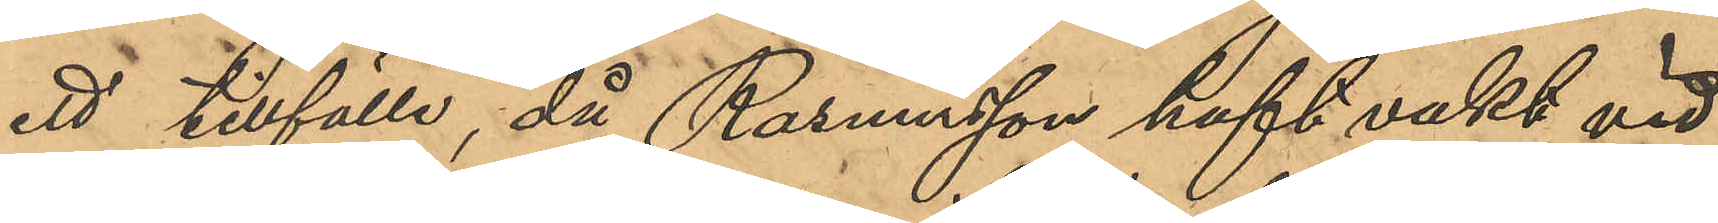ett tillfälle då Rasmusson haft vakt vid
